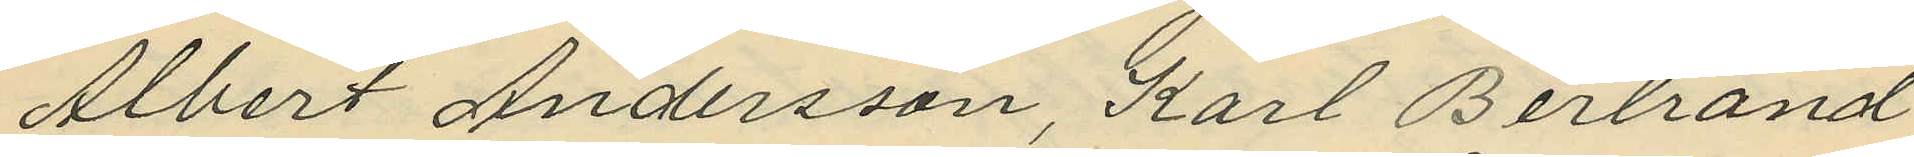Albert Andersson, Karl Bertrand
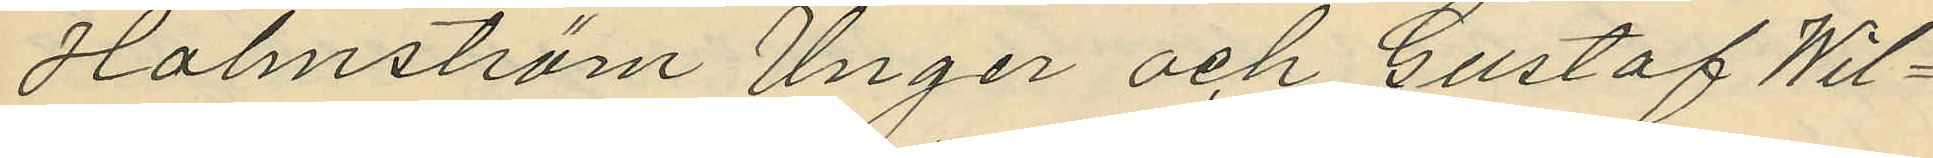Holmström Unger och Gustaf Wil¬
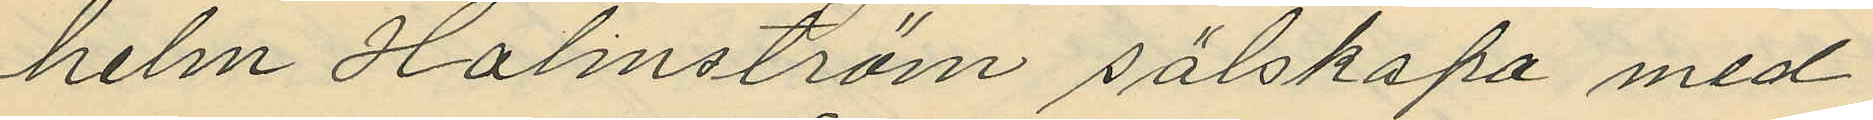helm Halmström sälskapa med
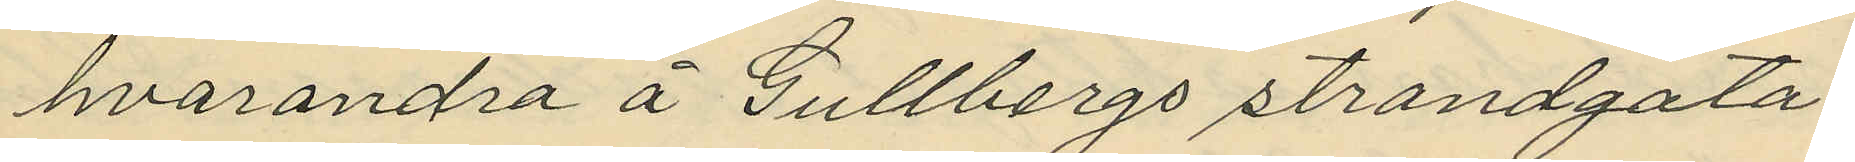hvarandra å Gullbergs strandgata,
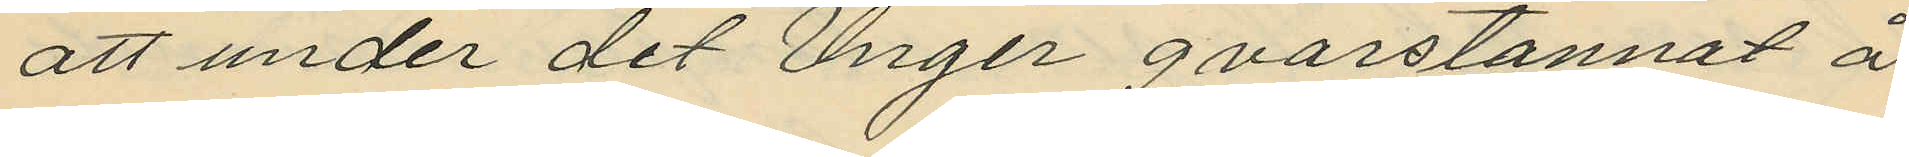att under det Unger qvarstannat å
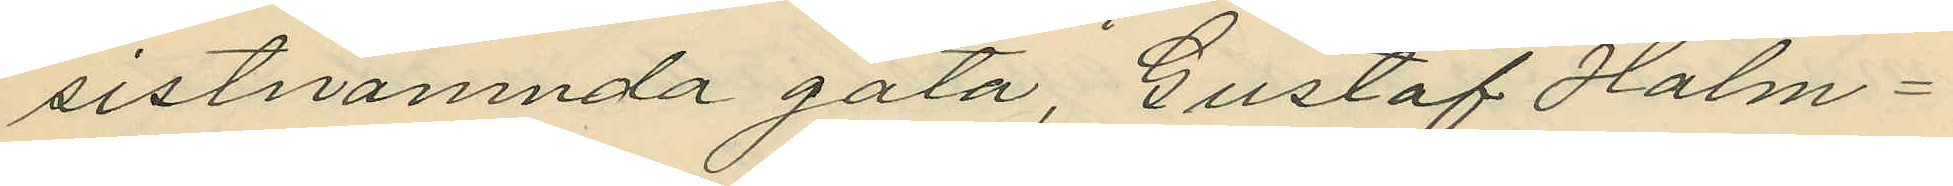sistnämnda gata, Gustaf Holm¬
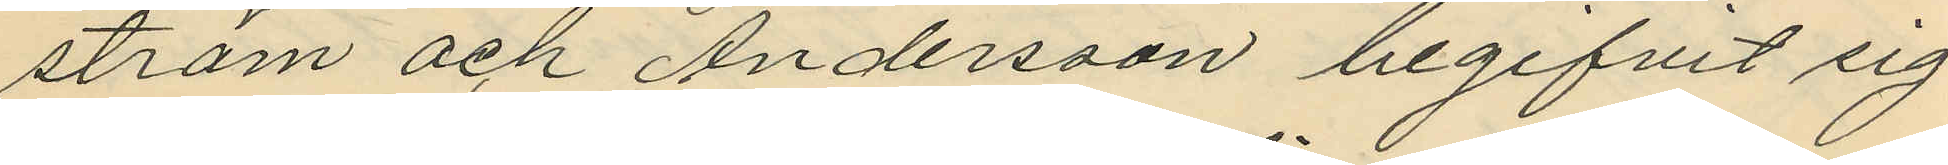ström och Andersson begifvit sig
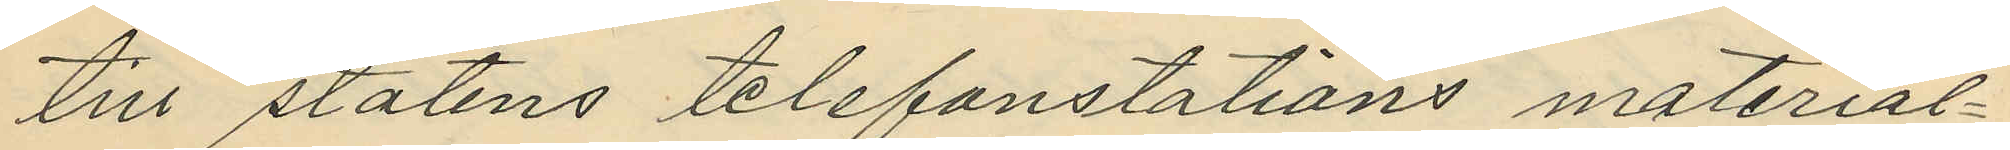till statens telefonstations material¬
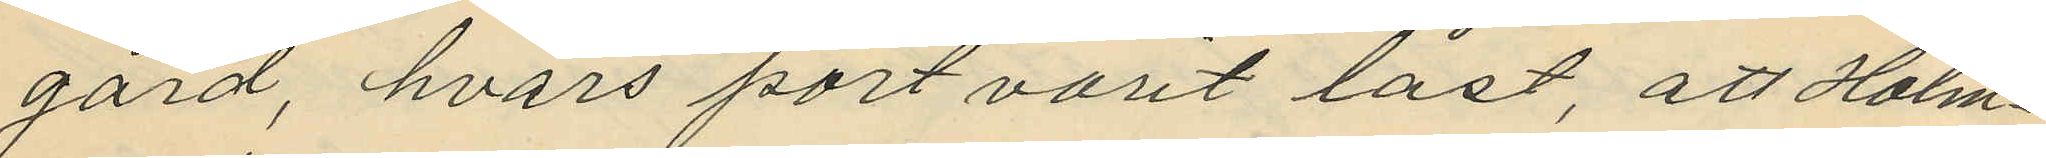gård, hvars port varit låst, att Holm¬
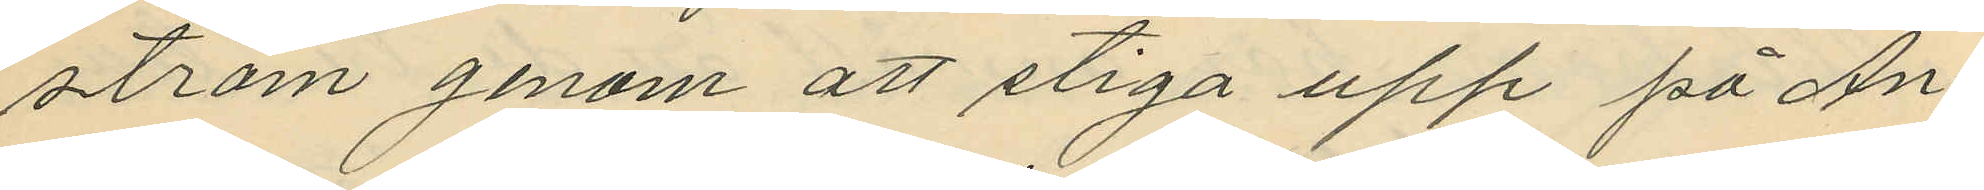ström genom att stiga upp på An¬
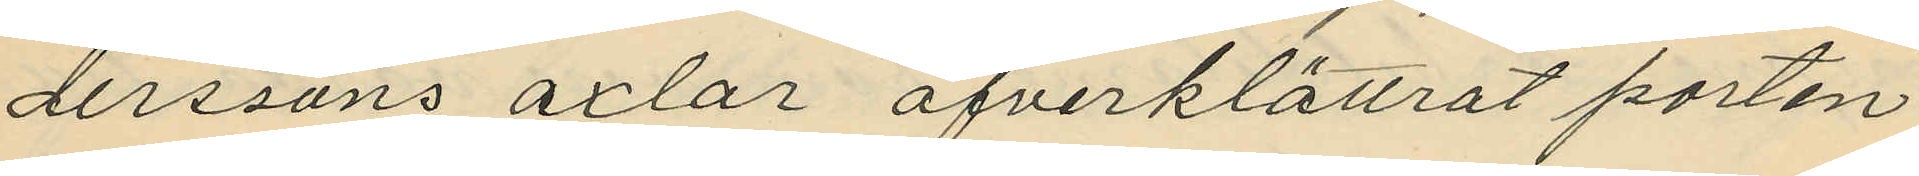derssons axlar öfverklättrat porten
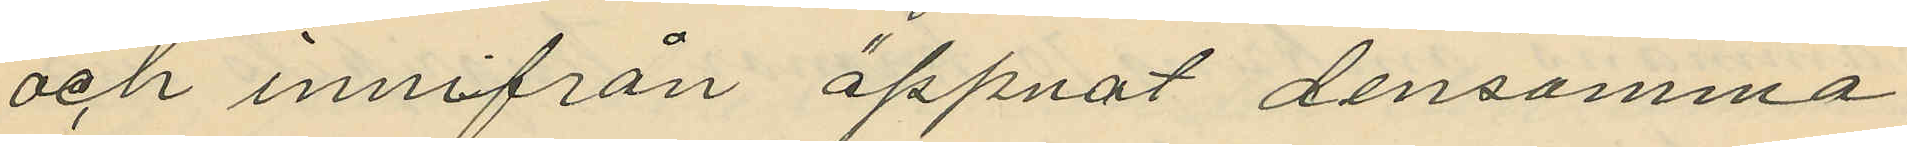och innifran öppnat densamma
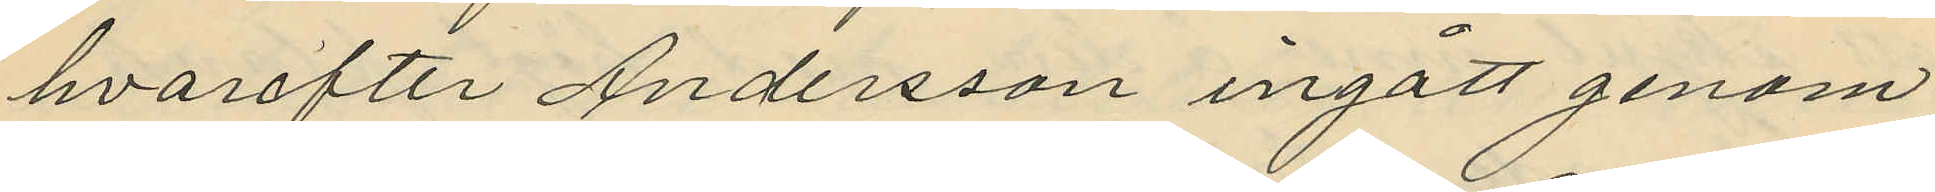hvarefter Andersson ingått genom
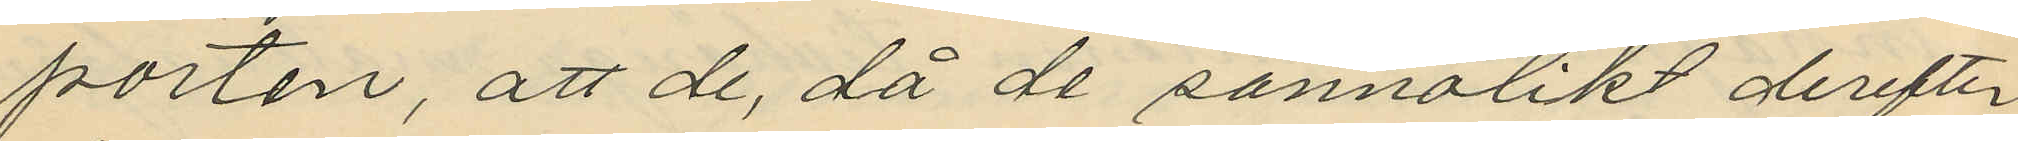porten, att de, då de sannolikt derefter
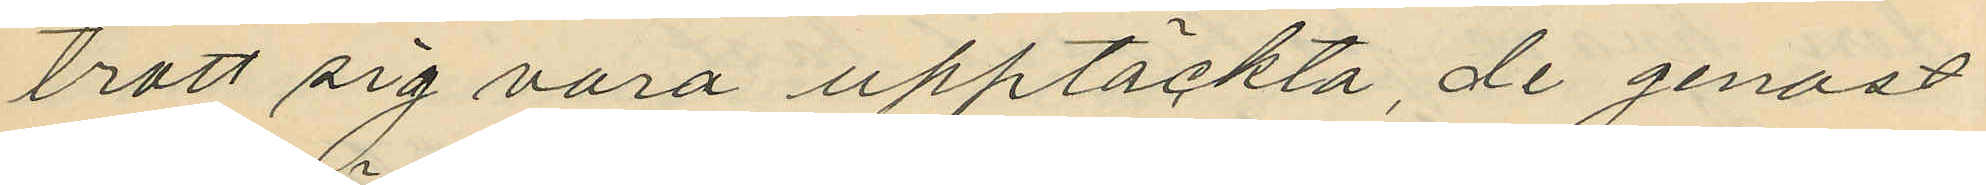trott sig vara upptäckta, de genast
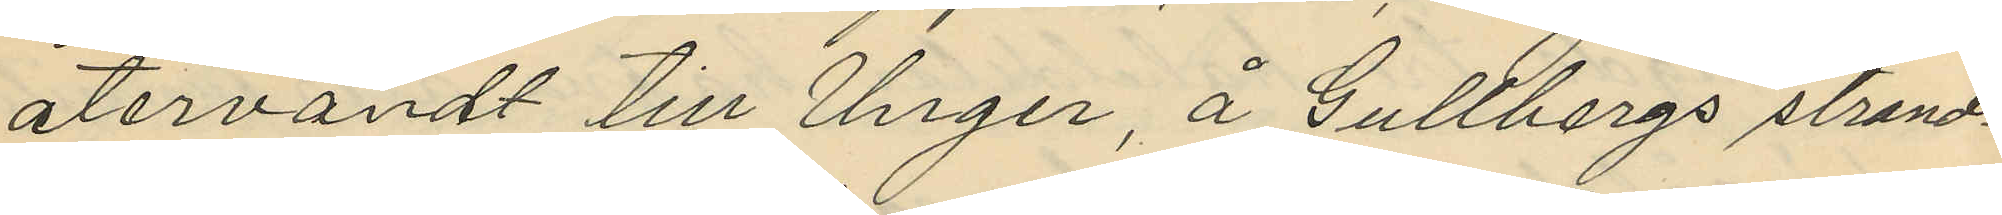återvändt till Unger, å Gullbergs strand¬
